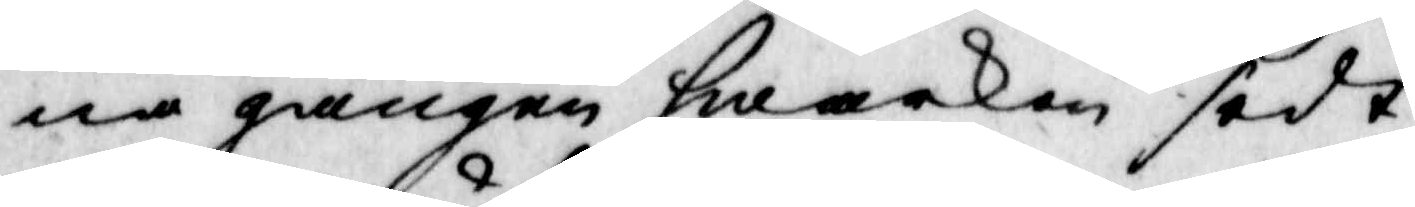na gången hwarken sedt
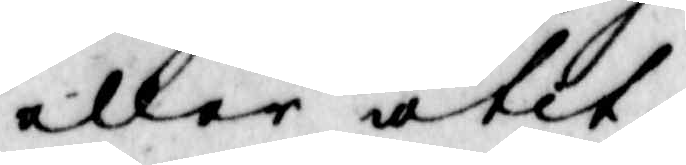eller ätit,
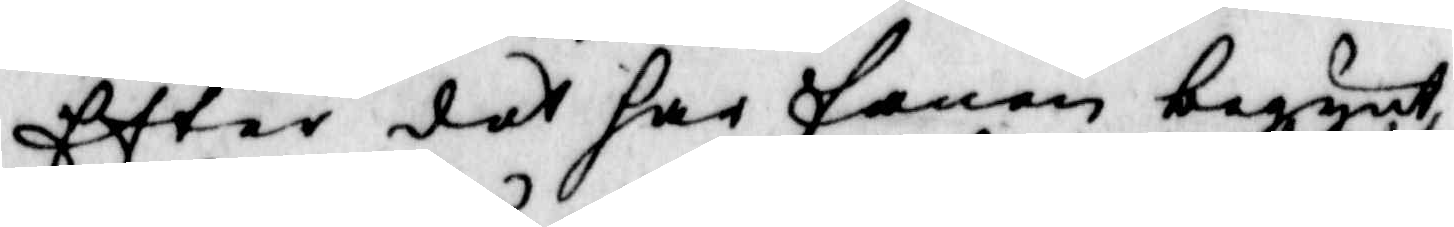Efter det har fanen begynt,
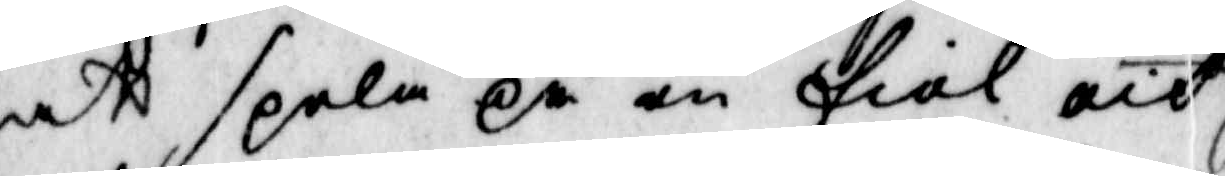att spela på en fiol och 
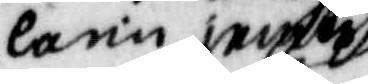Carin jemte
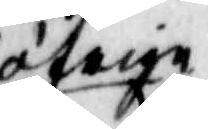öfriga
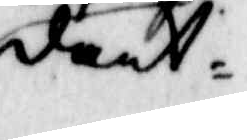dant¬
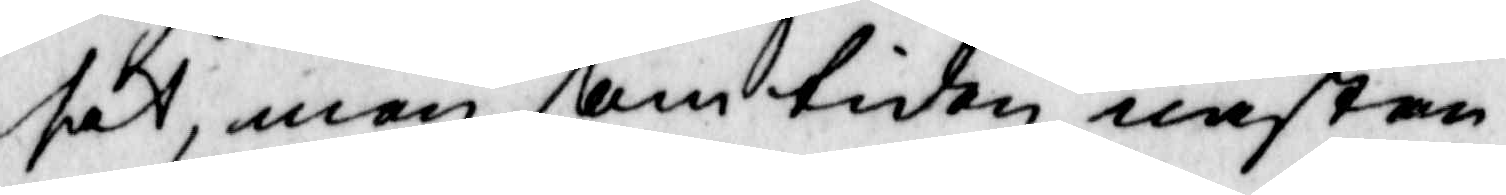sat, men som tiden nästan
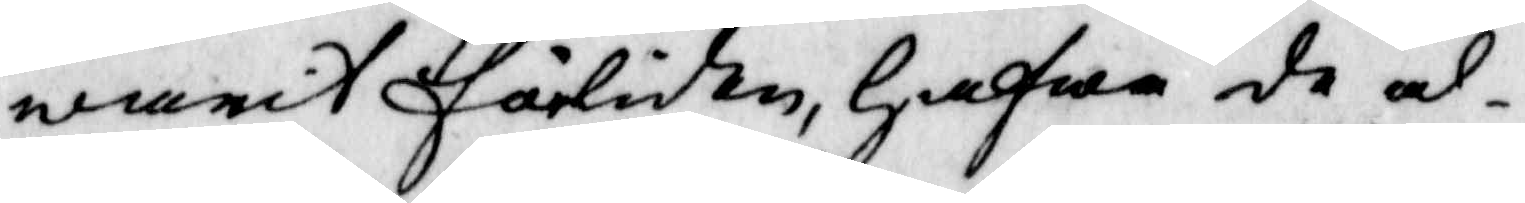warit förliden, hafwa de al¬
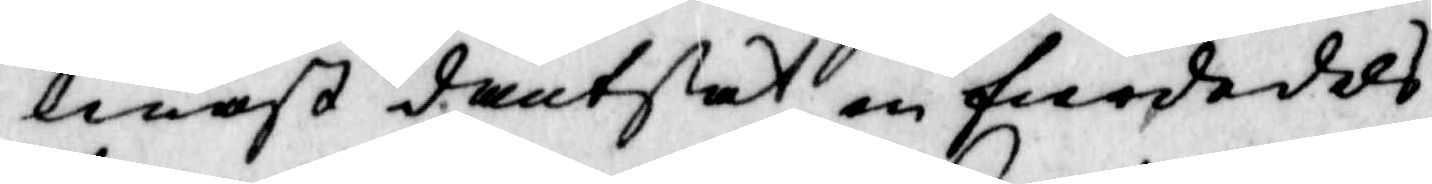lenast dantsat en fierdedels
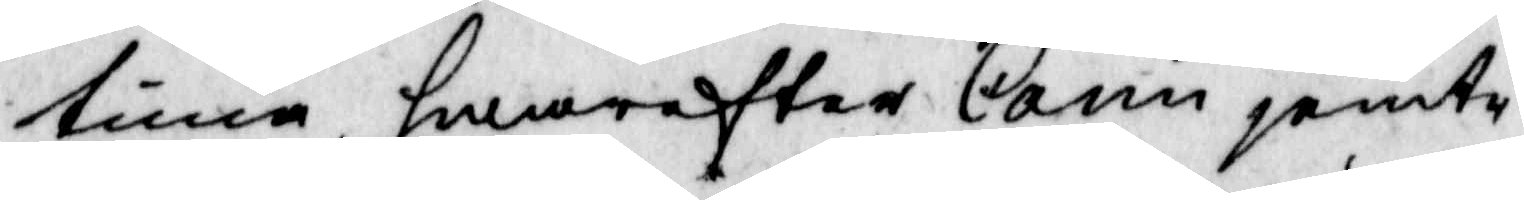tima, hwareftter Carin jemte
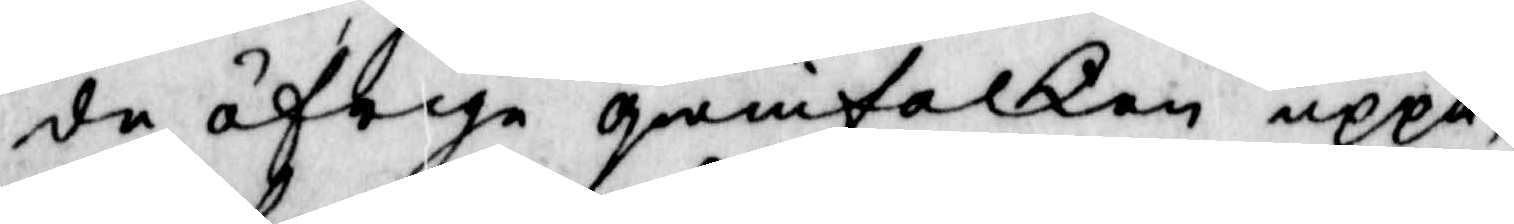de öfrige qwinfolken uppå,
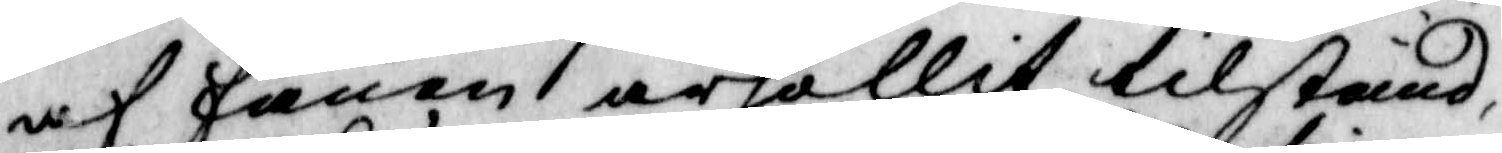af fanen ärhållit tilstånd,
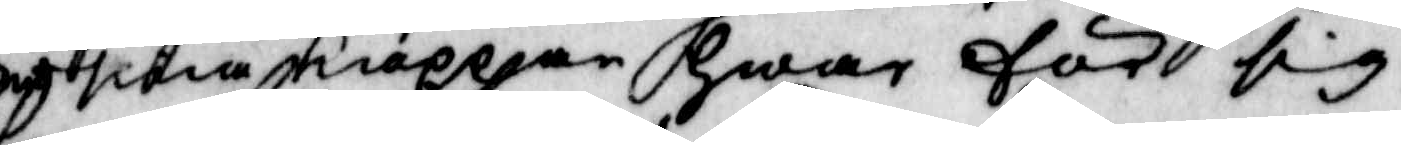smöra kiäppen Hwar för sig
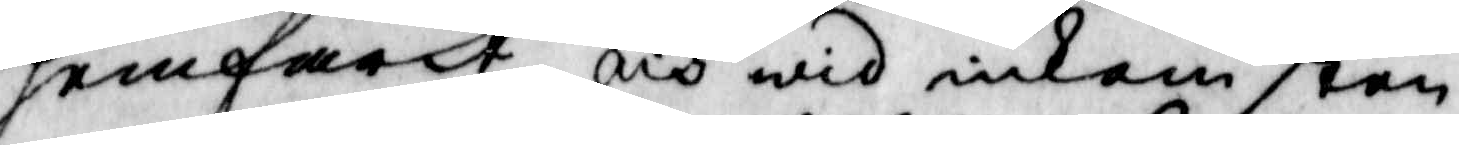hemfarit, och wid inkomsten
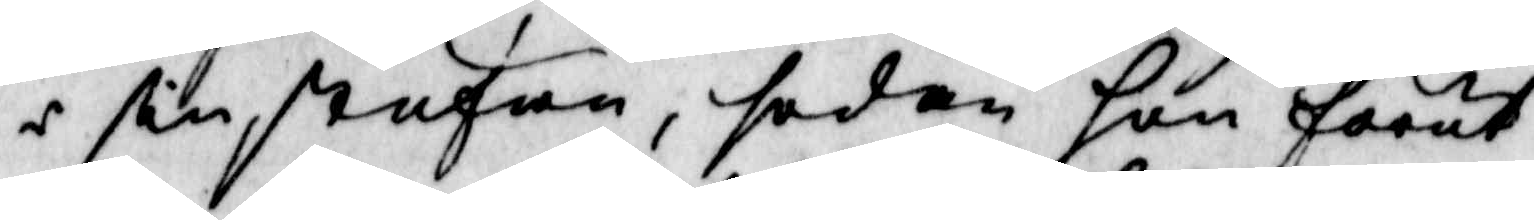i sin stufan, sedan hon förut
